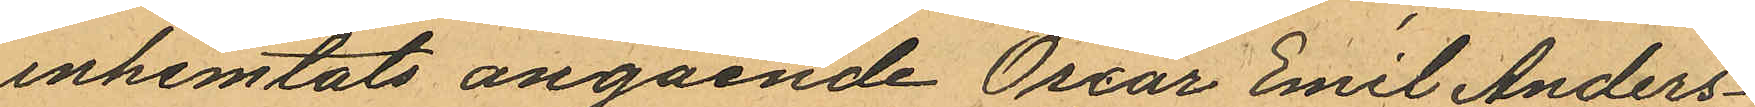inhemtats angående Oscar Emil Anders¬
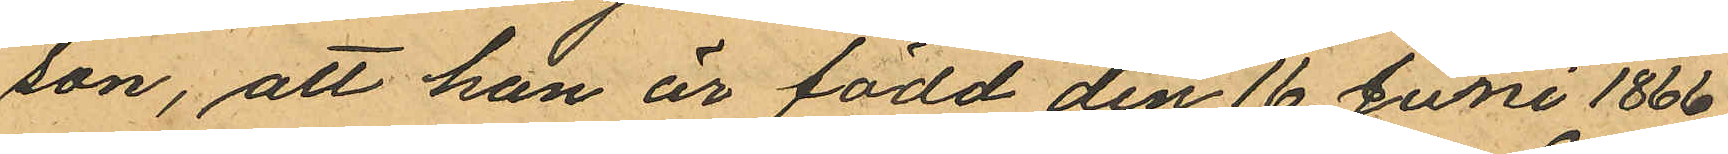son, att han är född den 16 Junii 1866.
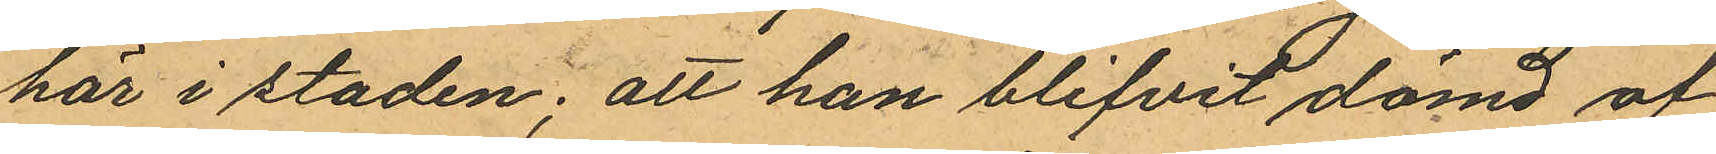här i staden; att han blifvit dömd af
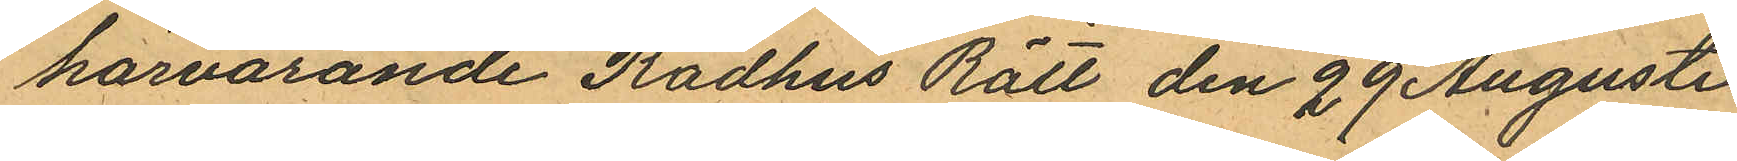härvarande Rådhus Rätt den 29 Augusti
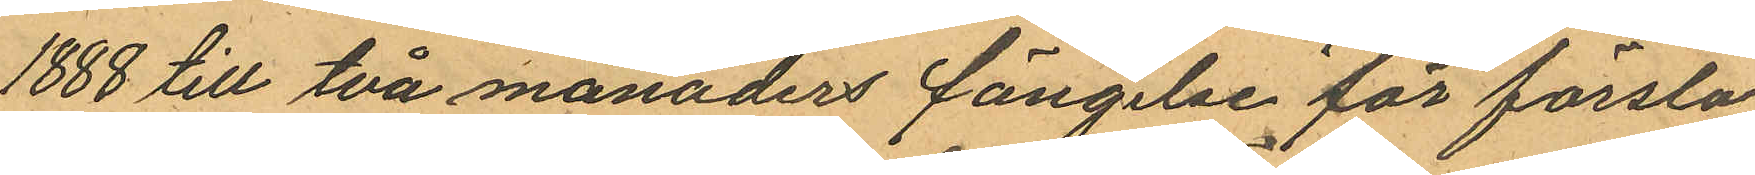1888 till två månaders fängelse för första
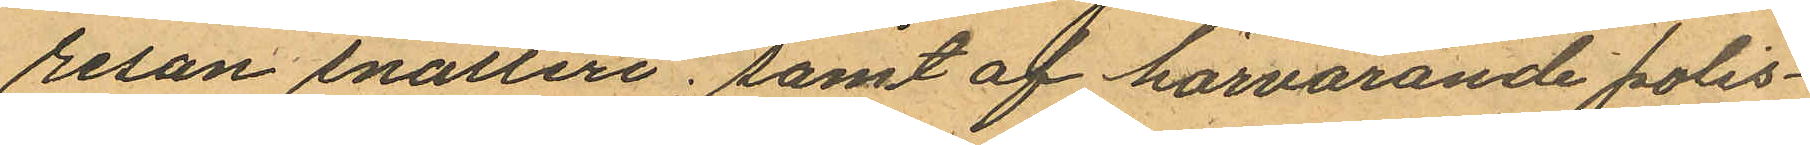resan snatteri; samt af härvarande polis¬
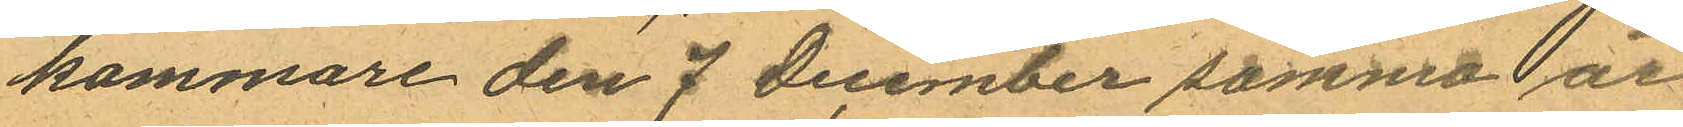kammare den 7 December samma år
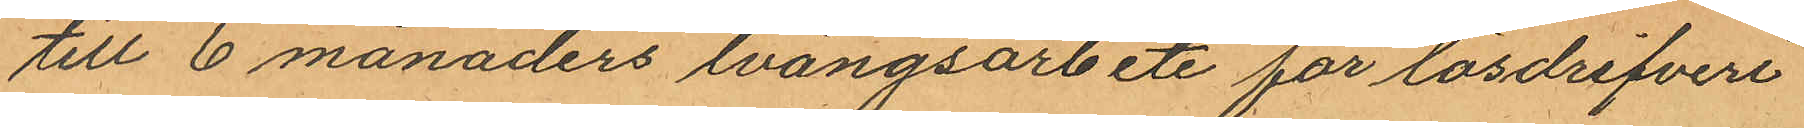till 6 månaders tvångsarbete för lösdrifveri
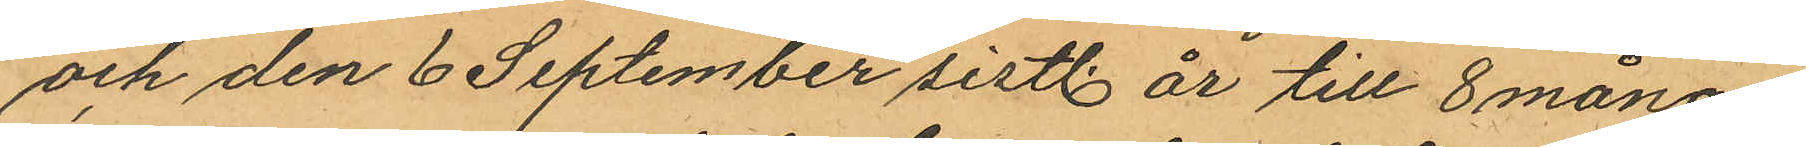och den 6 September sistl. år till 8 måna¬
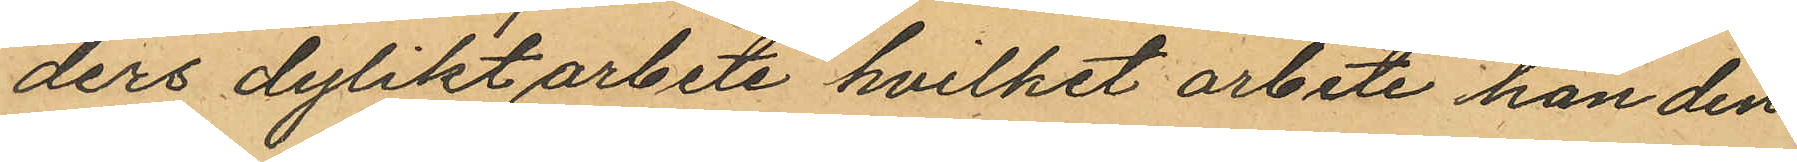ders dylikt arbete hvilket arbete han den
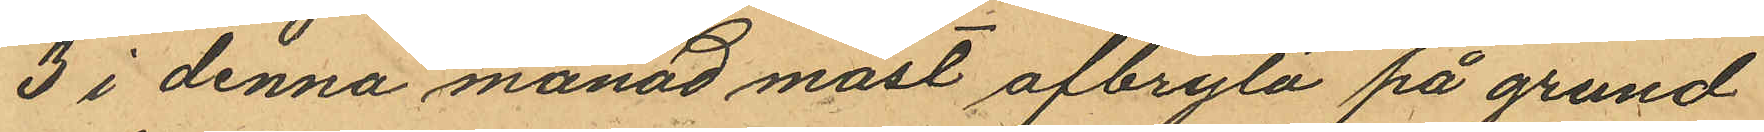3 i denna månad måst afbryta på grund
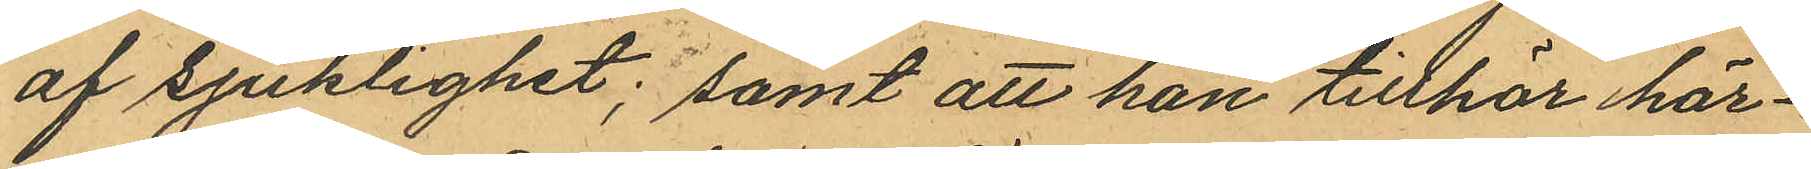af sjuklighet; samt att han tillhör här¬
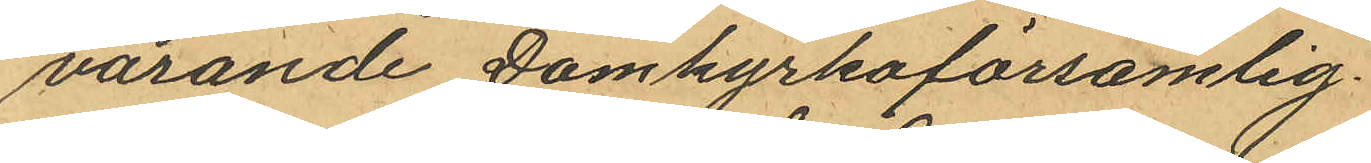varande Domkyrkoförsamlig.
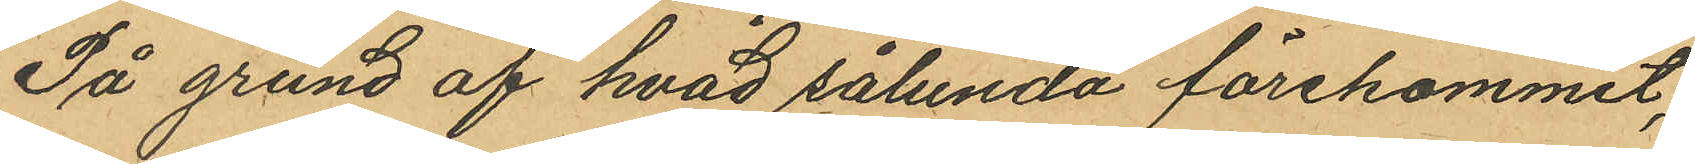På grund af hvad sålunda förekommit,
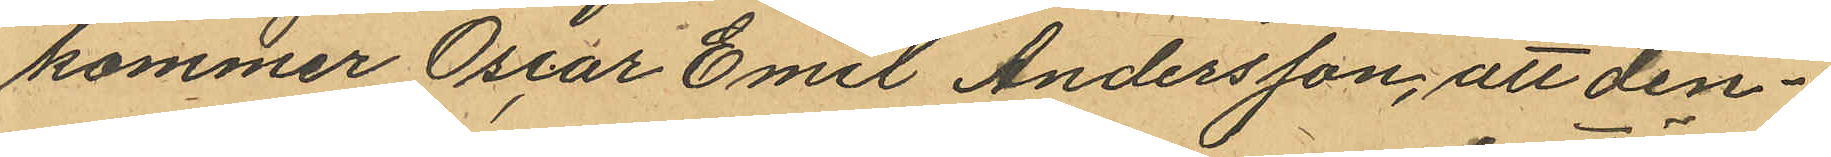kommer Oscar Emil Andersson, att den¬
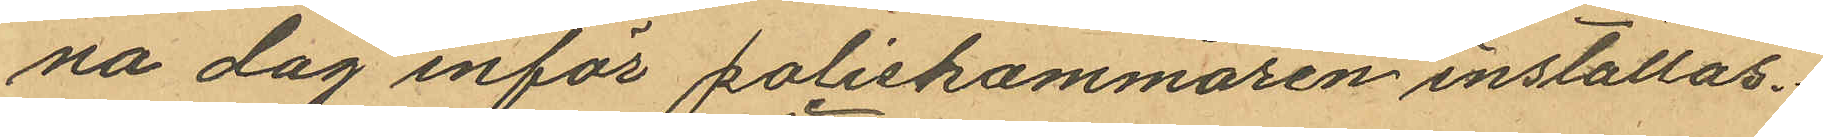na dag inför poliskammaren inställas.
